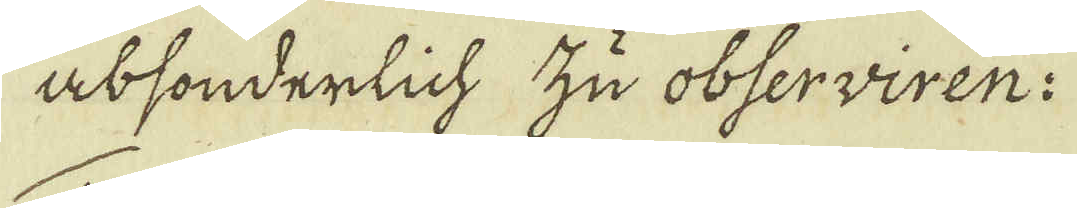absonderlich zu observiren:
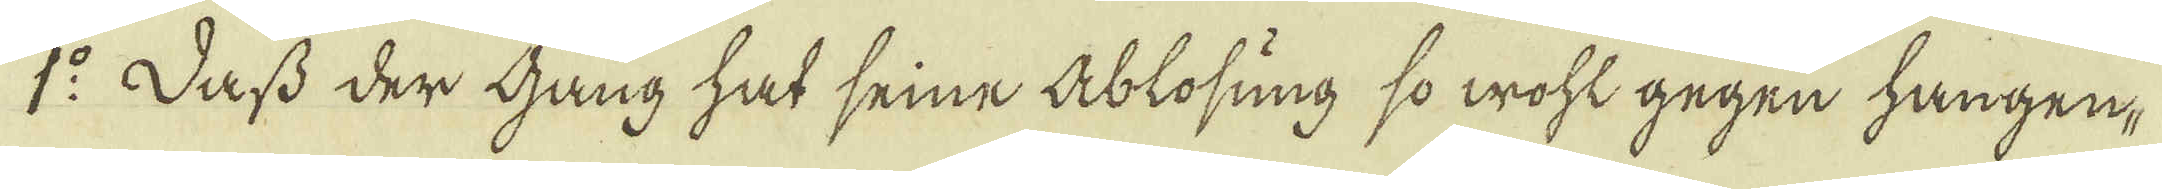1:o Dass der gang hat seine Ablosung so woht gegen hången
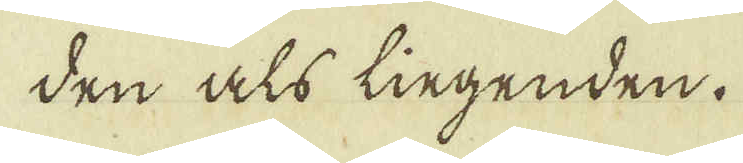den als liegenden.
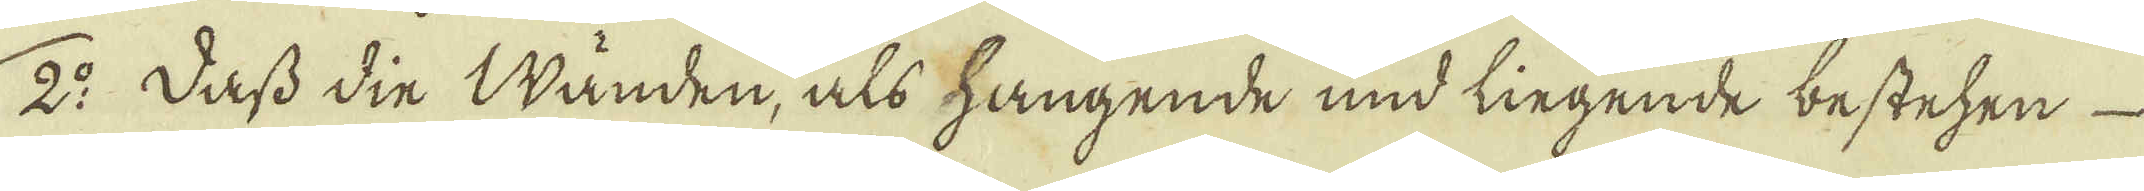2:o Dass din Wänden, als hangende und liegende bestehen
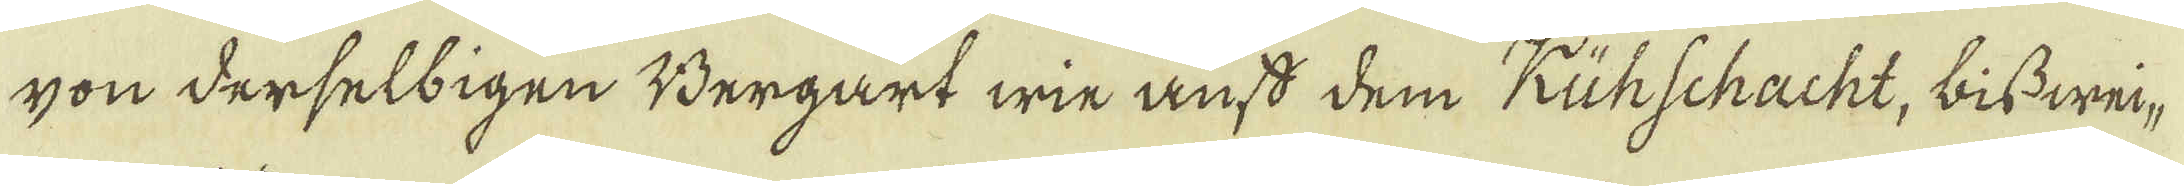gon derselbigen Bergart wie anss dem Kühschacht, bisswei-
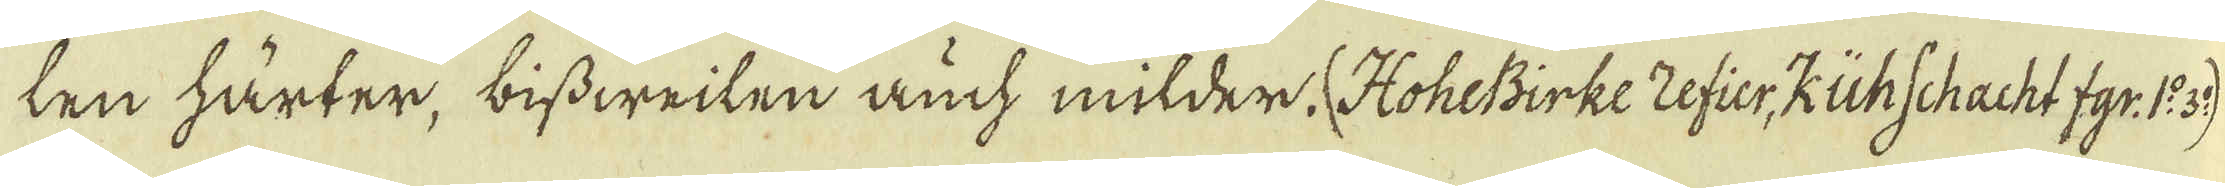len härter, bissweilen auch milder. (HoheBirke zefier, KühSchacht fgr: 1:o 3:o)
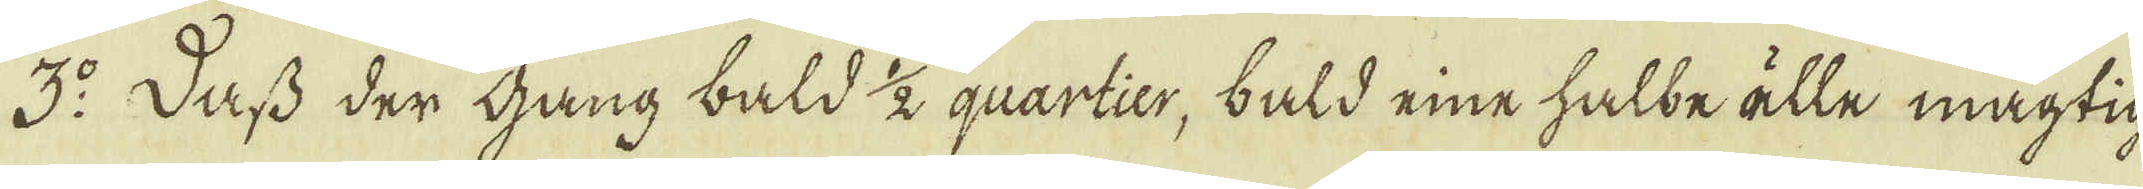3:o Dass der gang bald 1/2 quartier, bald eine halbe älle mägtig-
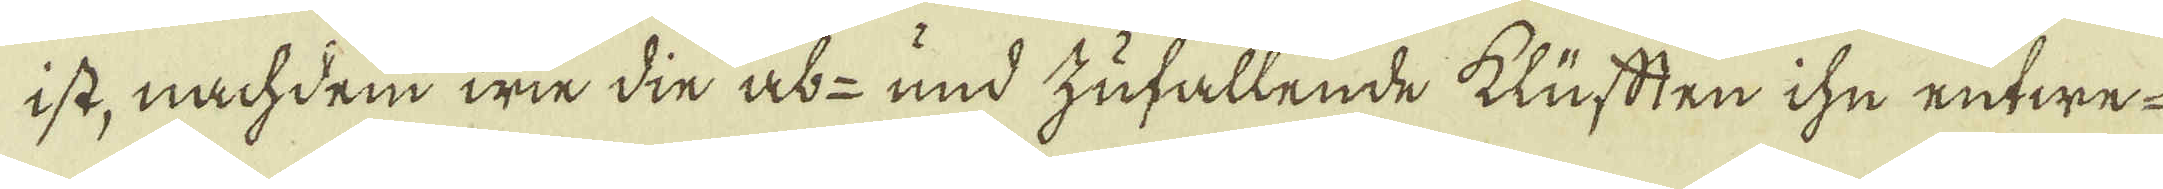ist, nachdem wie din ab- und zufallende klüftten ihn eutwe-
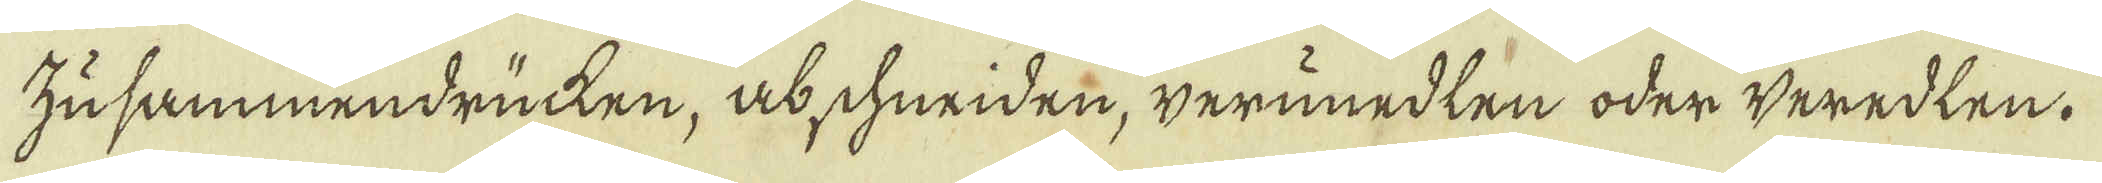zusammendrücken, abschuriden, verünedlen oder weredlen.
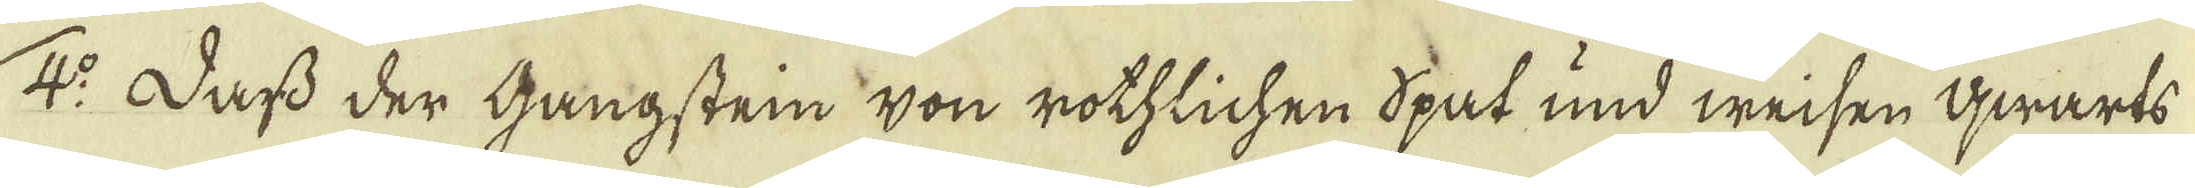4:o Dass der gangsten Von rothlichen Spat und weisen qwarts
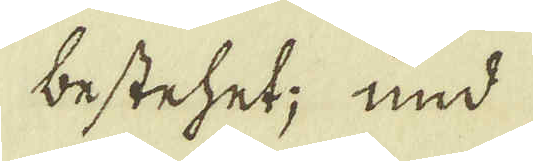bestehet; und
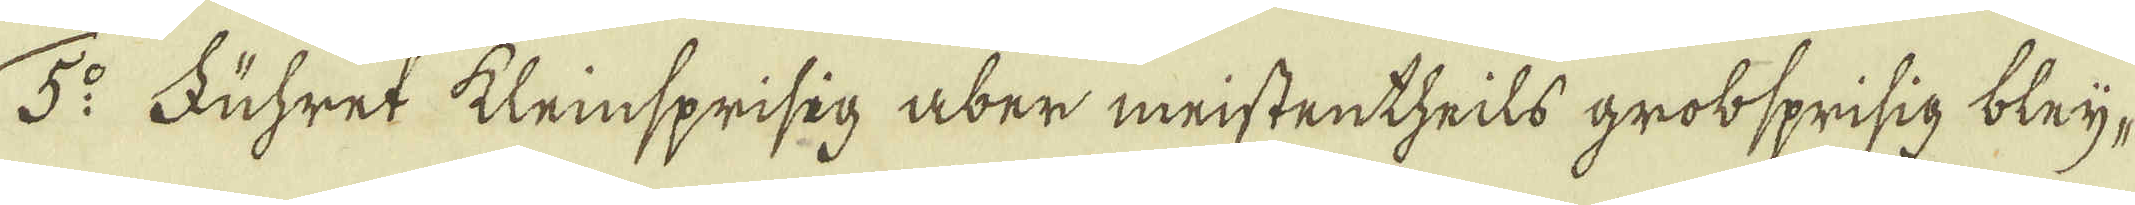5:o Führet kleinsprisig aber meistentheils grobsprisig bleij-
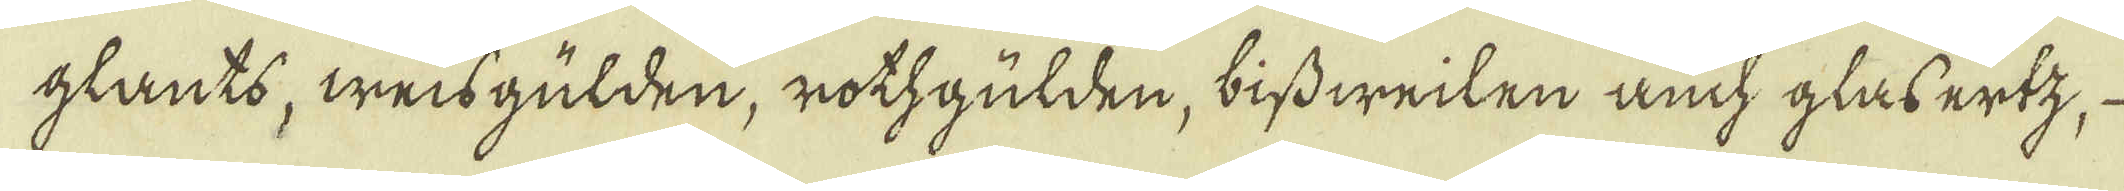glants, weisgülden, rothgulden, bissweilen auch glasertz,
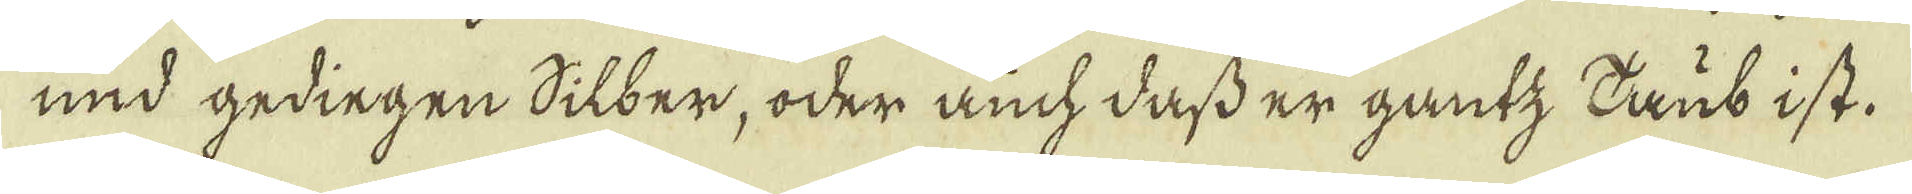und gedingen Silber, oder auch dass er gantz Daub ist.
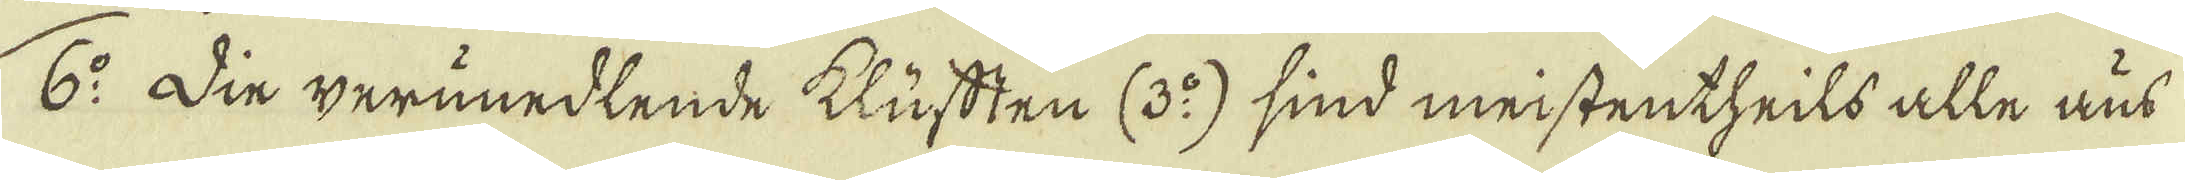6:o Din verunedlende klüfften (3:o) sind meistentheils alle aus
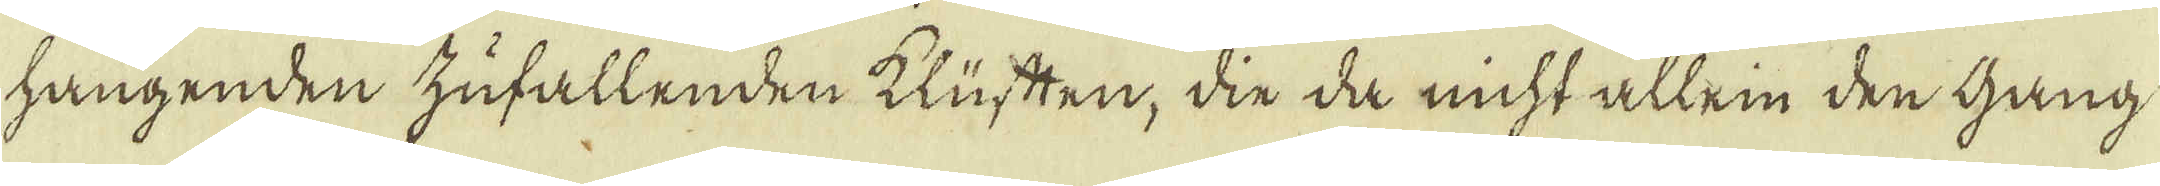hangenden zufallenden klüften, din da nicht allein den gang
